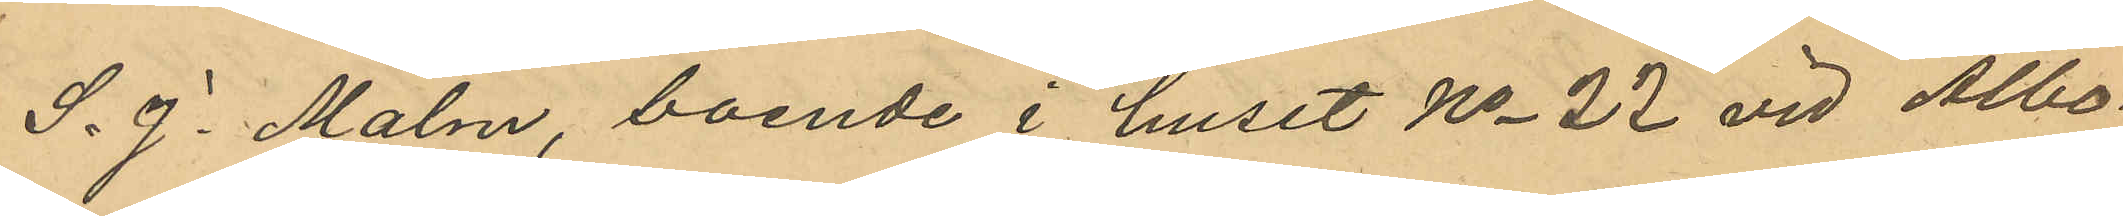S. J. Malm, boende i huset No 22 vid Albo¬
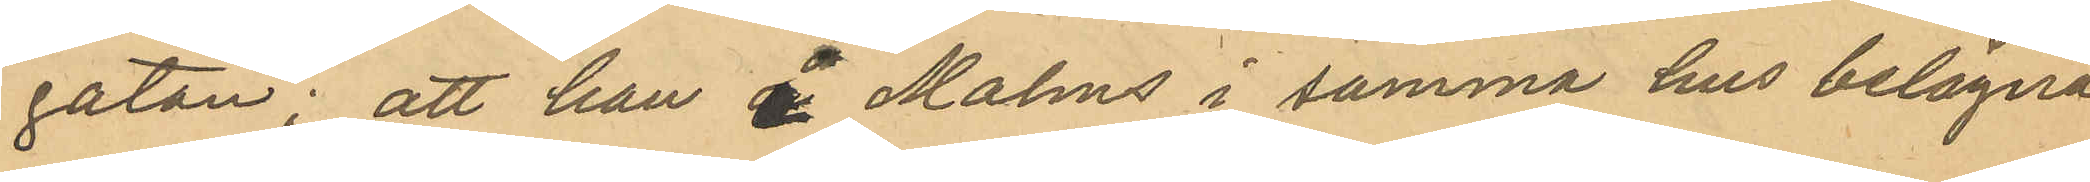gatan; att han å Malms i samma hus belägna
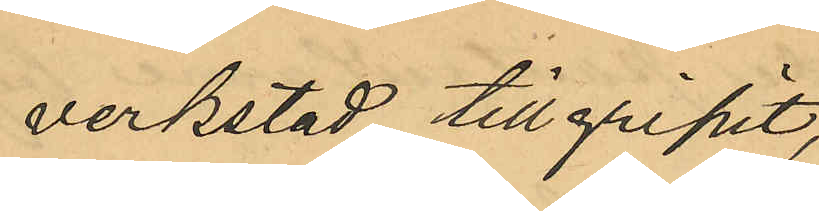verkstad tillgripit,
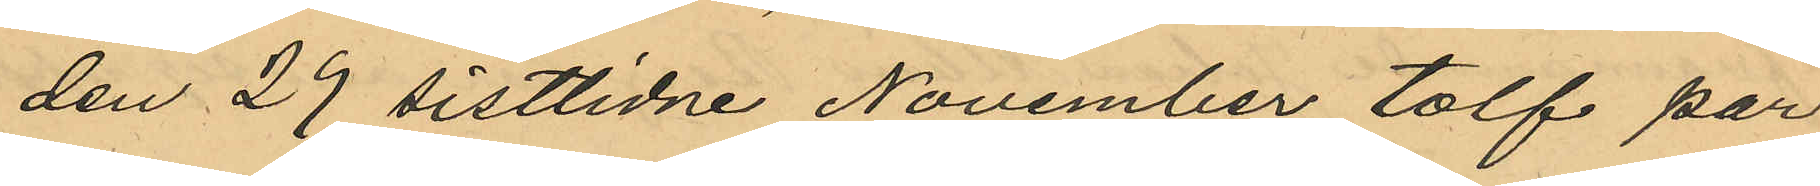den 29 sistlidne November tolv par
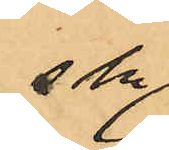s.k.
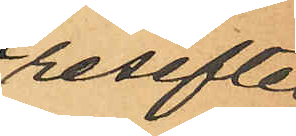resefter
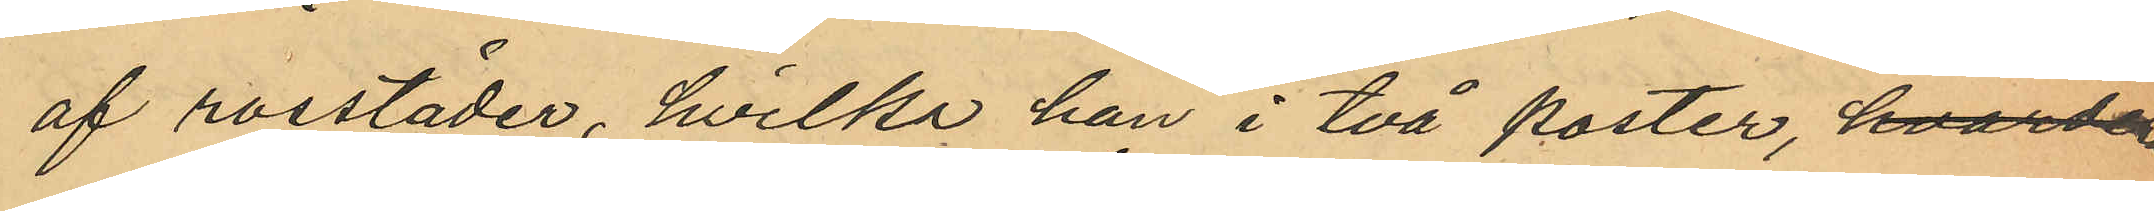af rossläder, hvilka han i två poster, hvardera
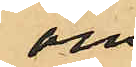om
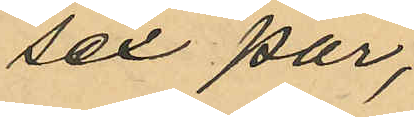sex par,
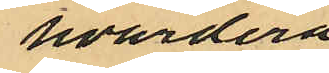hvardera
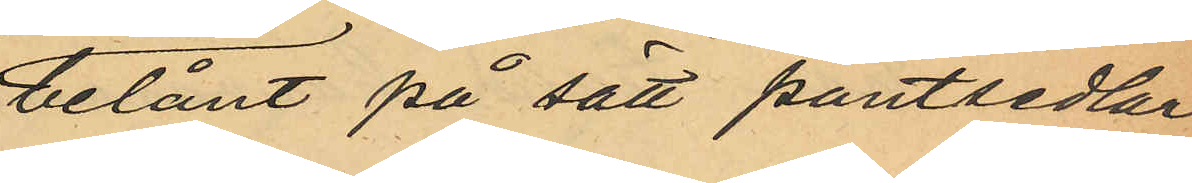belånat på sätt pantsedlar¬
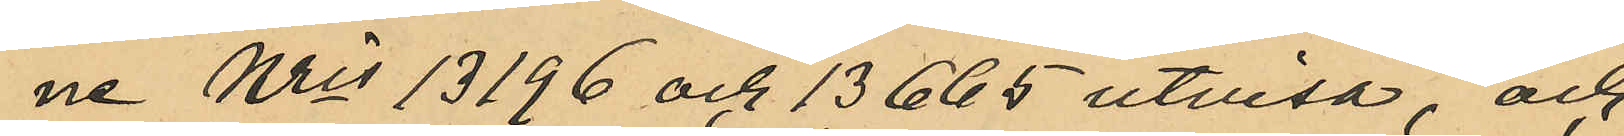ne Nris 13196 och 13665 utvisa, och
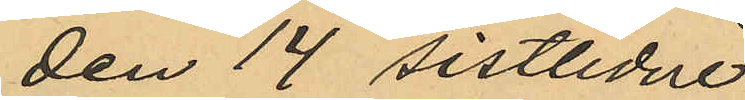den 14 sistlidne 
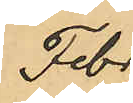Febr
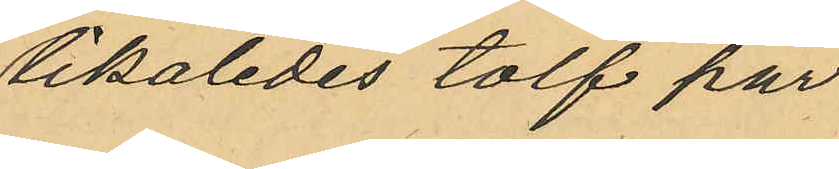likaledes tolf par
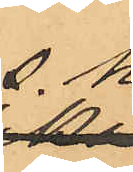s.k.
